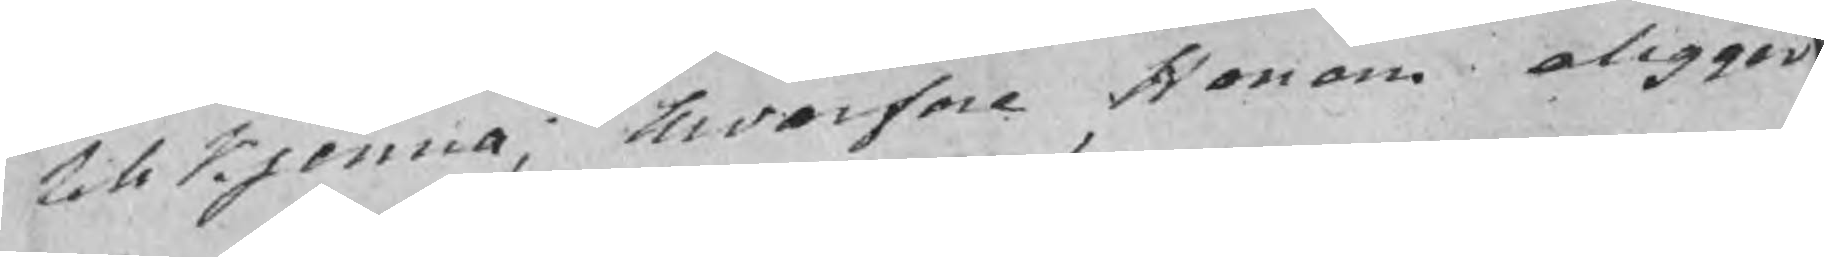tillkjenna, hwarfore Honom aligger
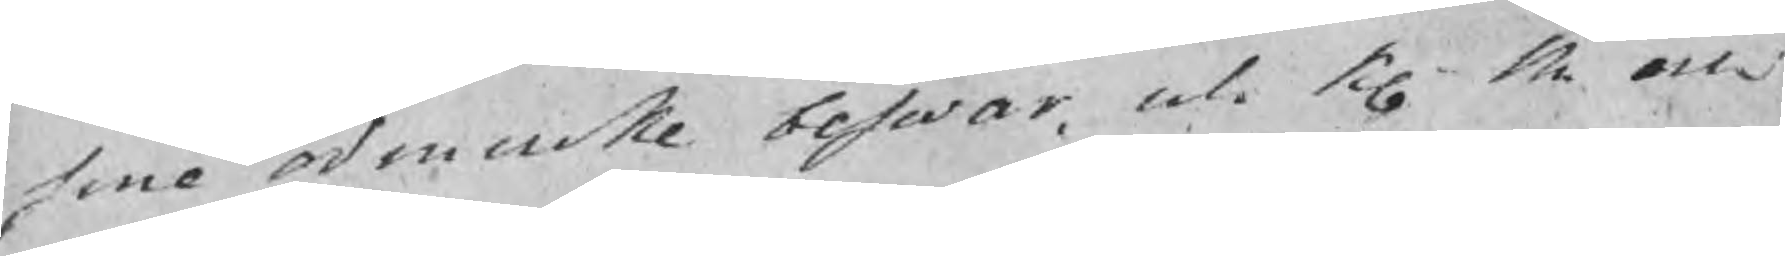sine odmiuke beswär, uti K M och 
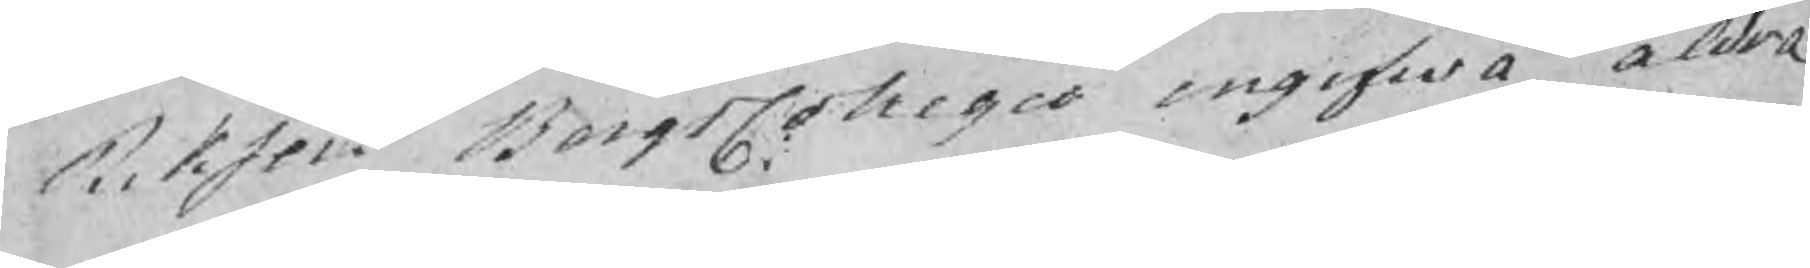Riksens BergsCollegie ingifwa aldra
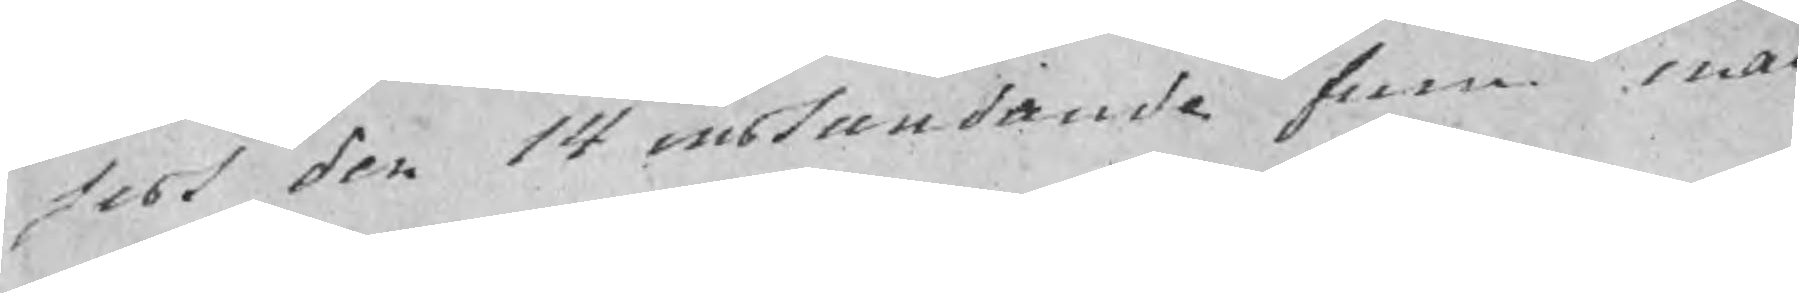sist den 14 instundande Juni ina
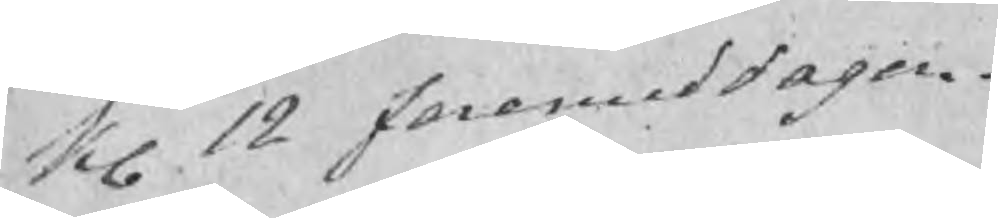kl 12 foremiddagen.
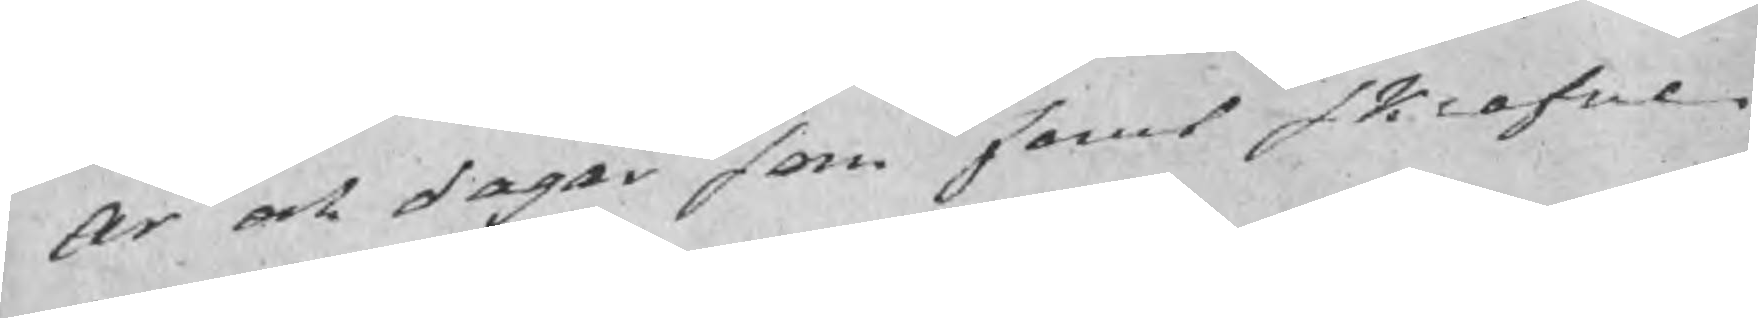År och dagar som fanns skrefne
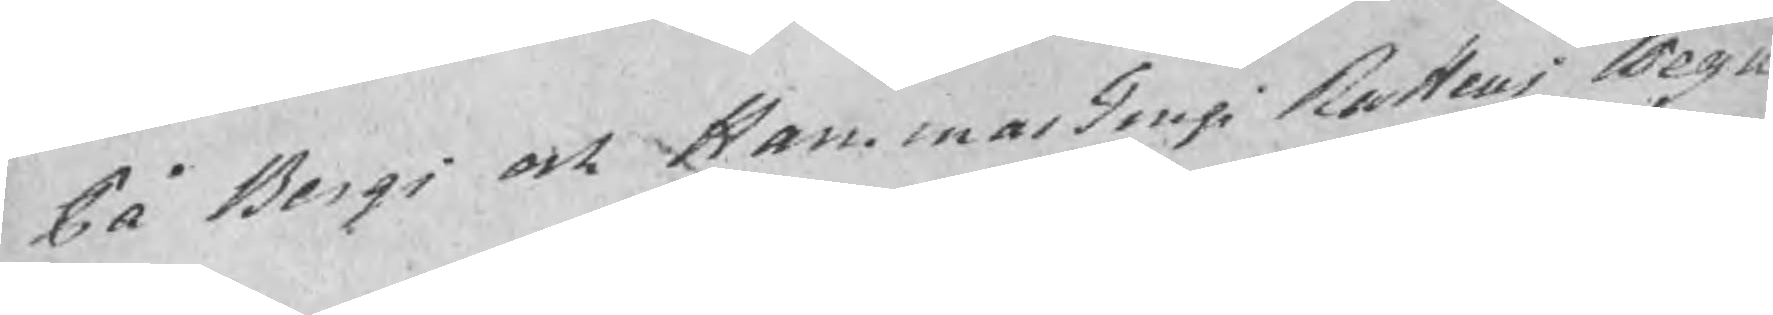På Bergs och HammarTings Rattens wegn
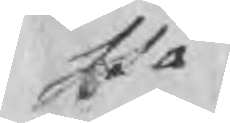stå
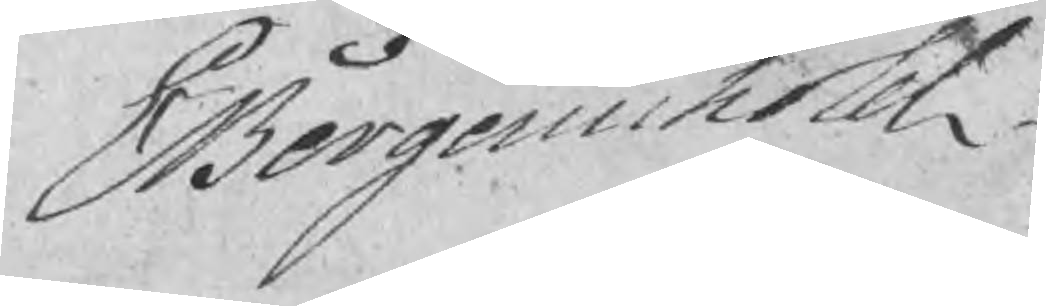Bergenstedt
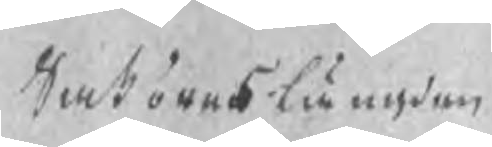Saköres Längden
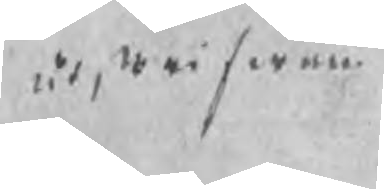ut, wi serne
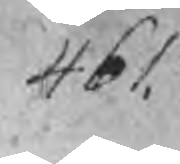461
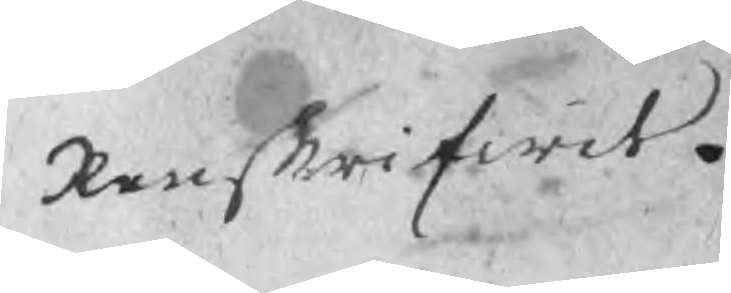Renskrifwit.
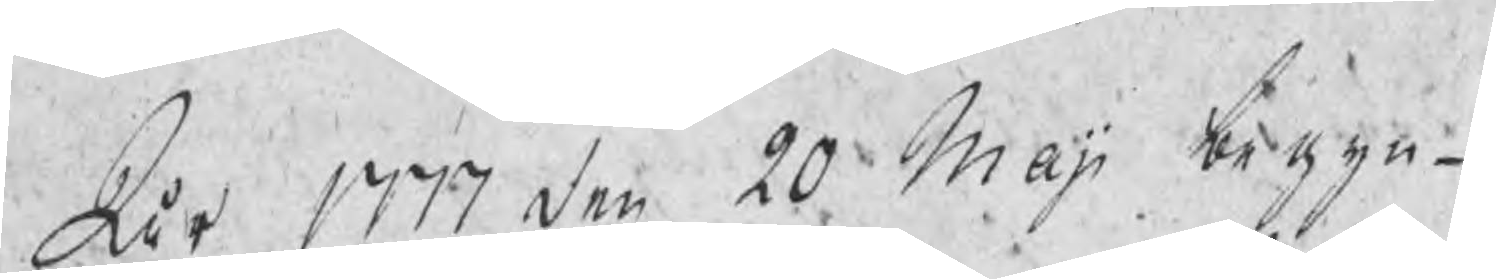År 1777 den 20 Maji begyn¬
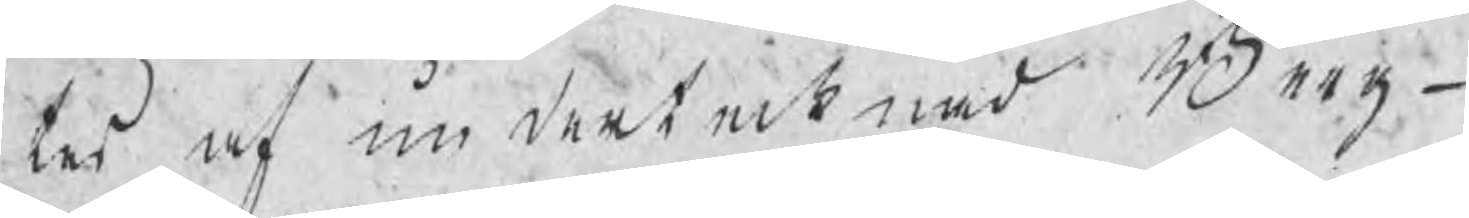tes af undertecknad Berg¬
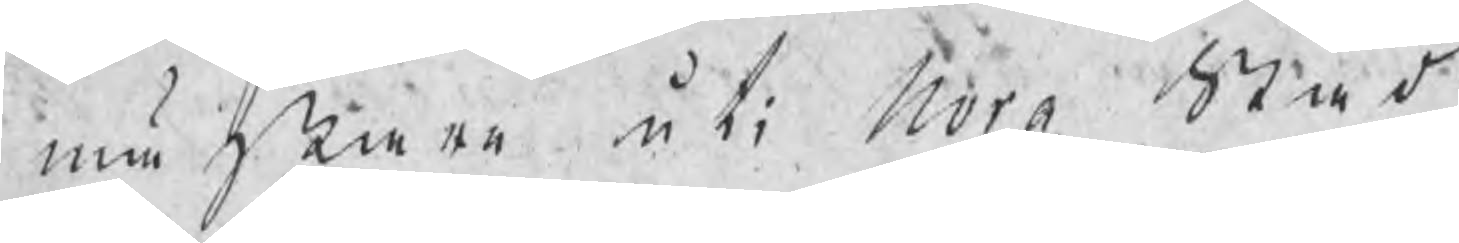mästare uti Nora Stad
